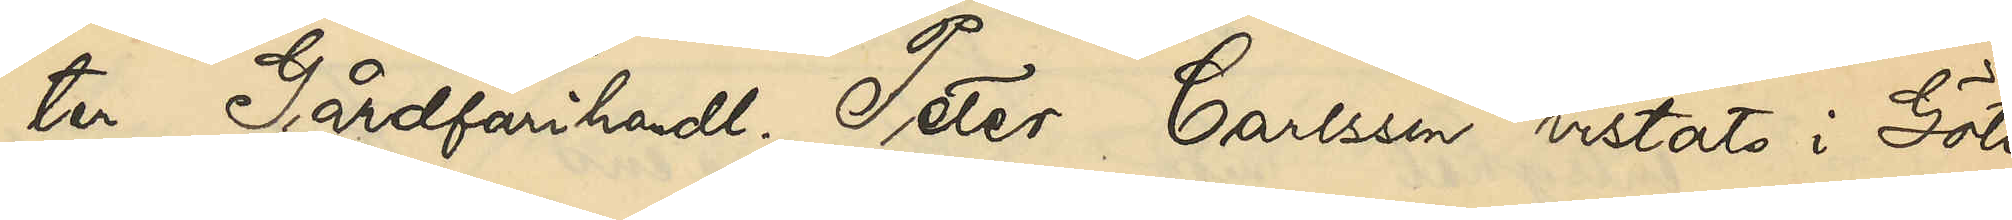ter Gårdfarihandl. Peter Carlsson vistats i Göte¬
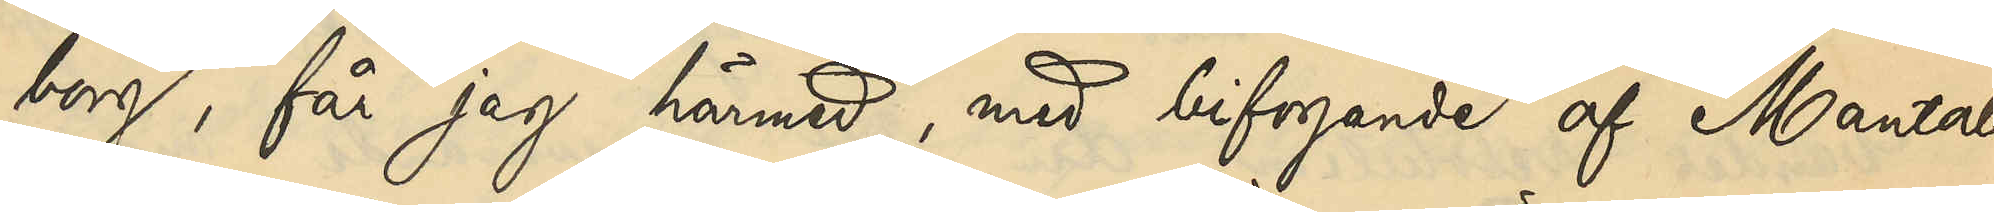borg, får jag härmed, med bifogande af Mantals¬
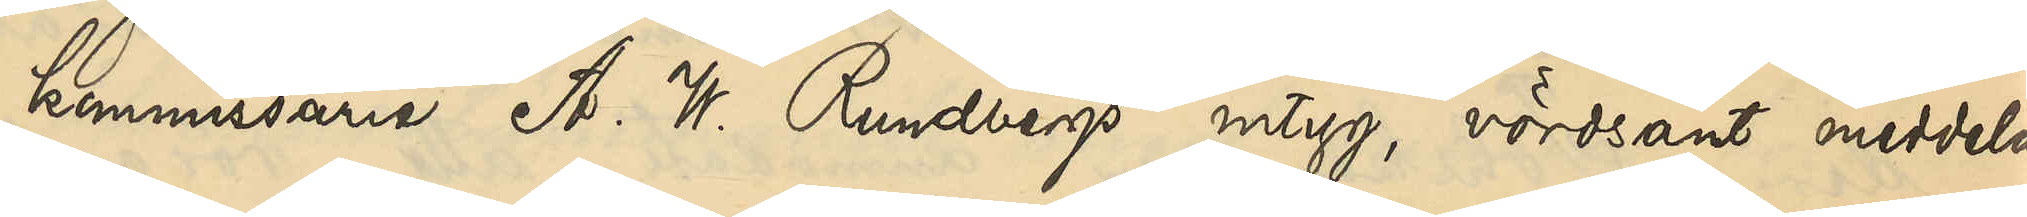kommissarie A. W. Rundbergs intyg, vördsamt meddela
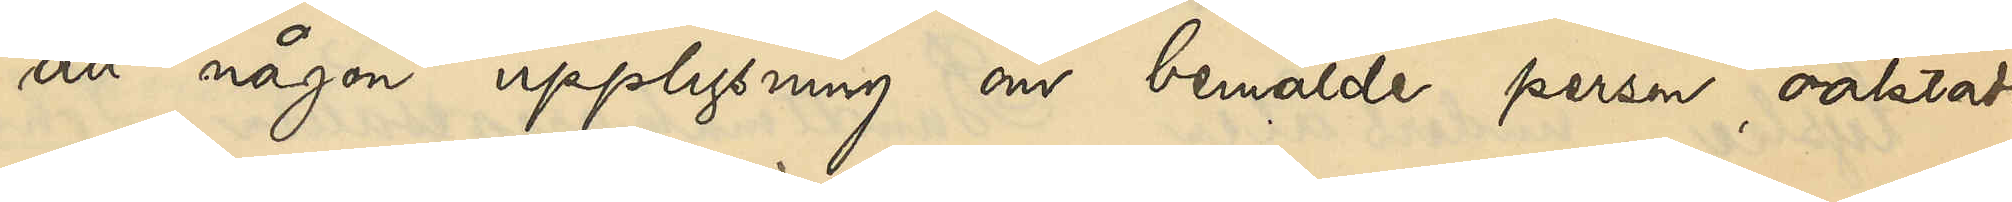att någon upplysning om bemälde person oaktadt
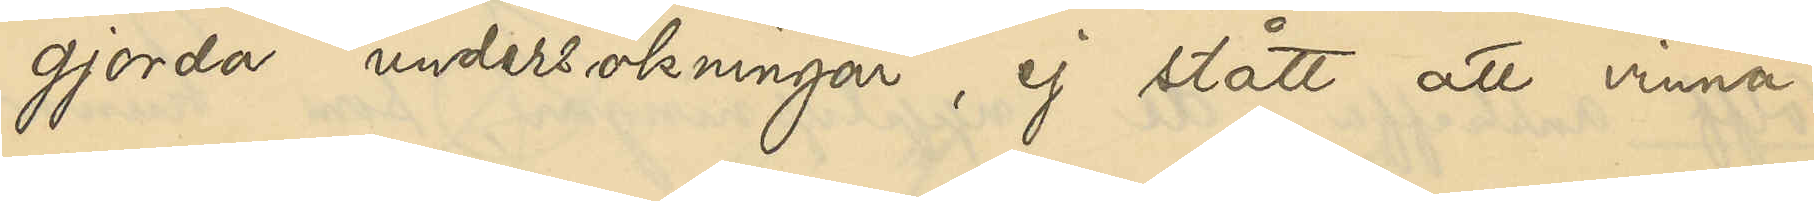gjorda undersökningar, ej stått att vinna.
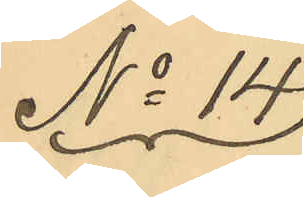No 14
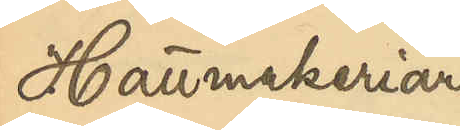Hattmakeriarb.
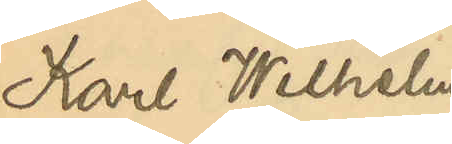Karl Wilhelm
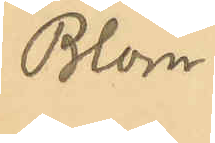Blom.
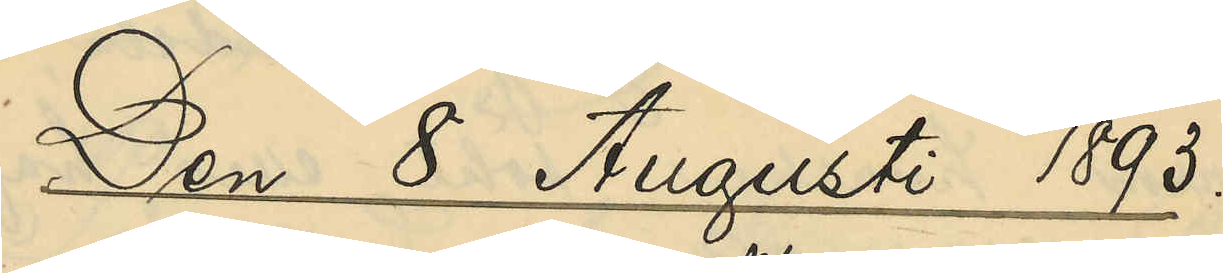Den 8 Augusti 1893
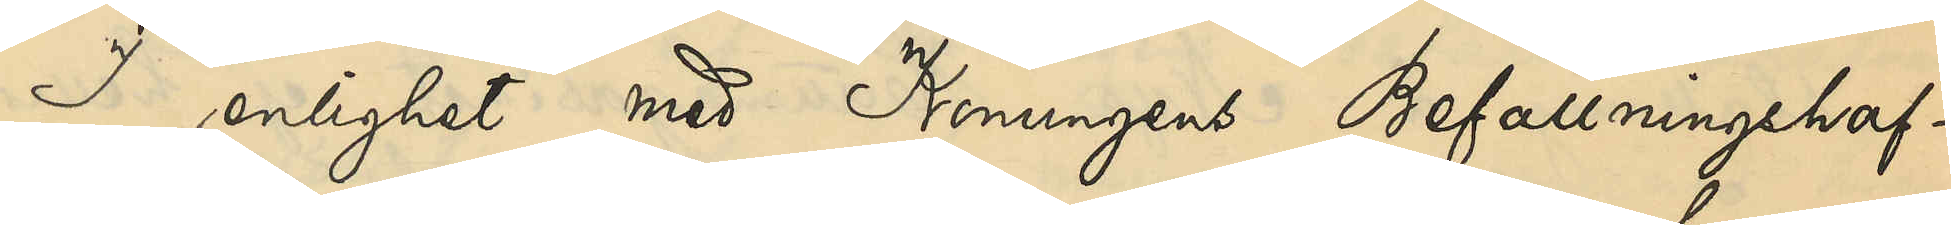I enlighet med Konungens Befallningshaf¬
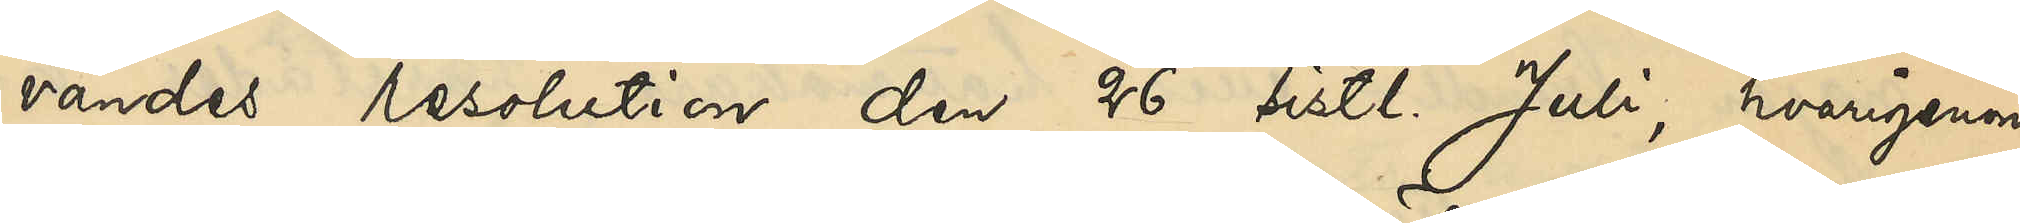vandes resolution den 26 sistl Juli, hvarigenom
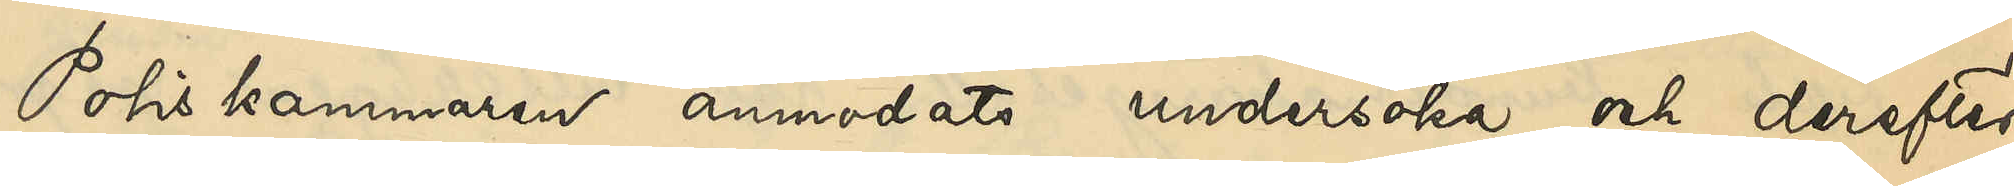Poliskammaren anmodats undersöka och derefter
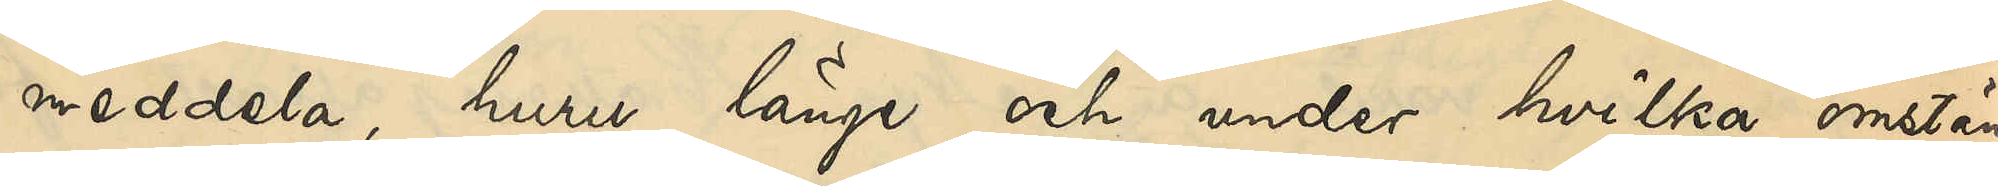meddela huru länge och under hvilka omstän¬
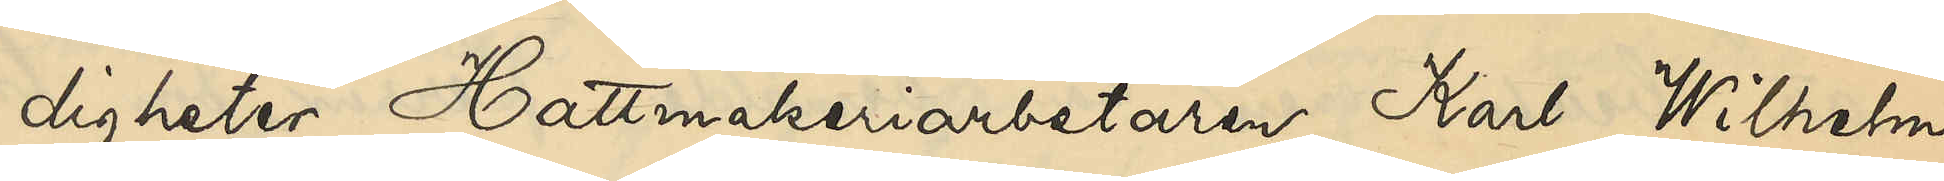digheter Hattmakeriarbetaren Karl Wilhelm
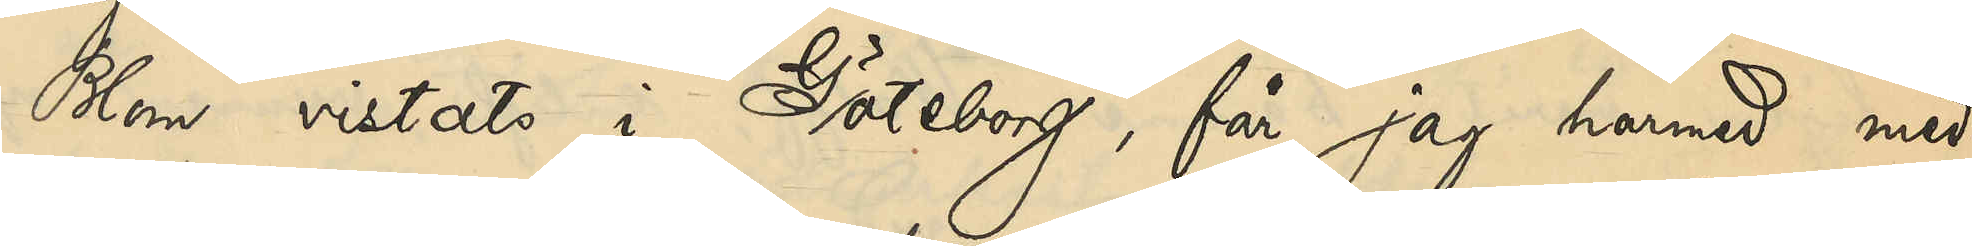Blom vistats i Göteborg, får jag härmed med¬
